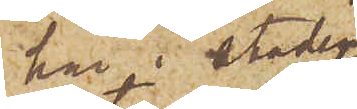här i Staden
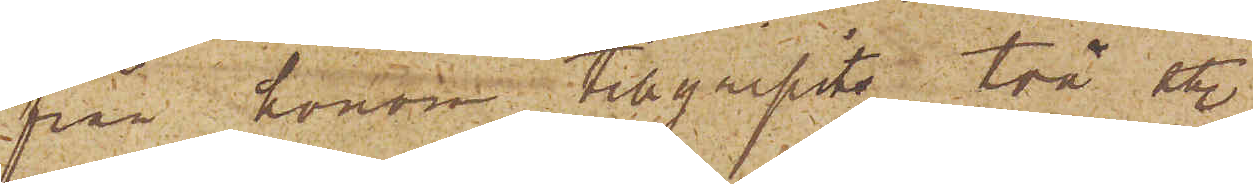från honom tillgripits två st.
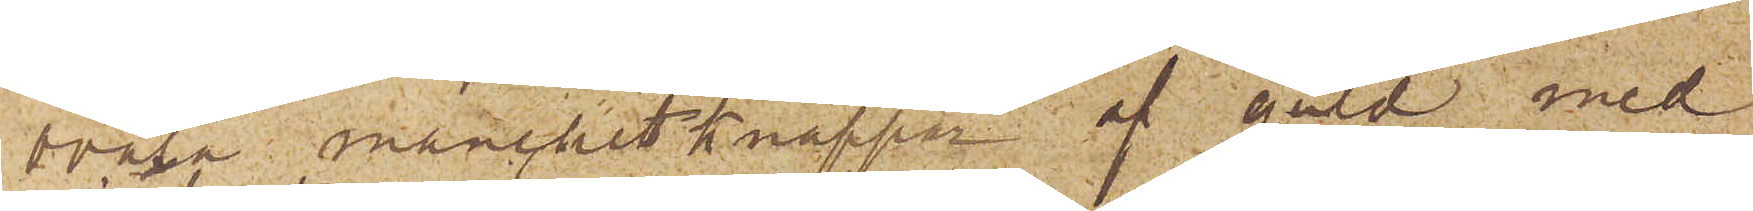ovala manchettknappar af guld med
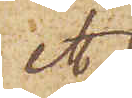ett
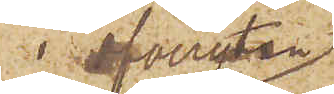i ofvanytan
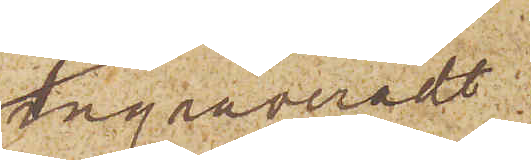ingraveradt,
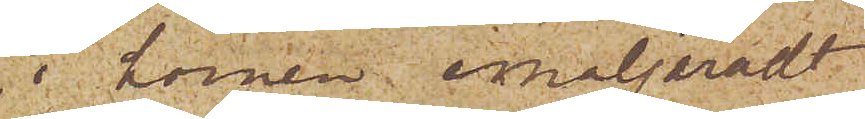i hörnen emaljeradt
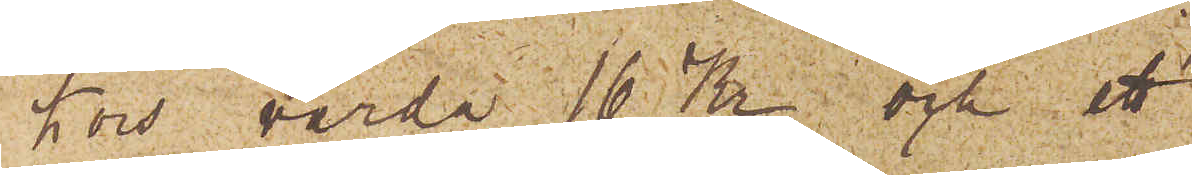kors värda 16 Kr och ett
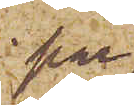par
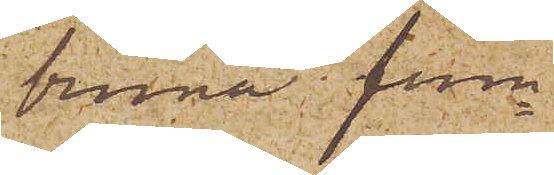bruna frun¬
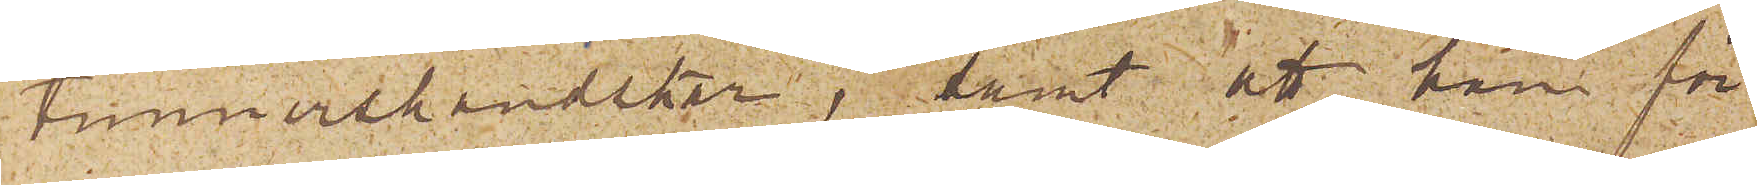timmershandskar; samt att han för
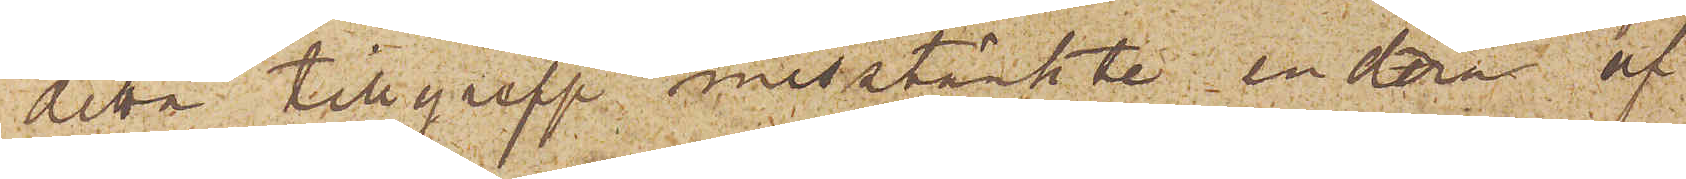detta tillgrepp misstänkte endera af
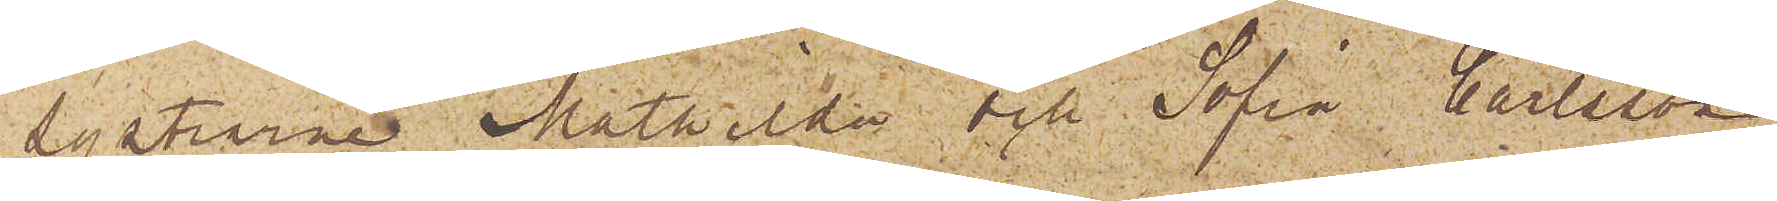systarne Mathilda och Sofia Carlsson
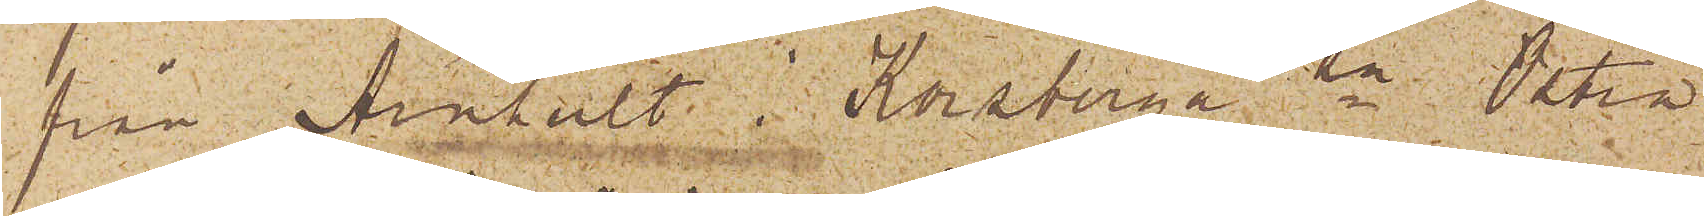från Arnhult i Korsberga sn Östra
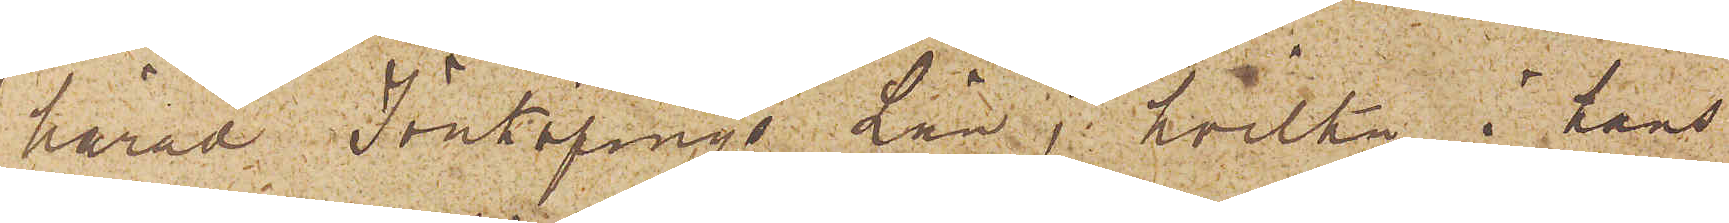härad Jönköpings Län, hvilka i hans
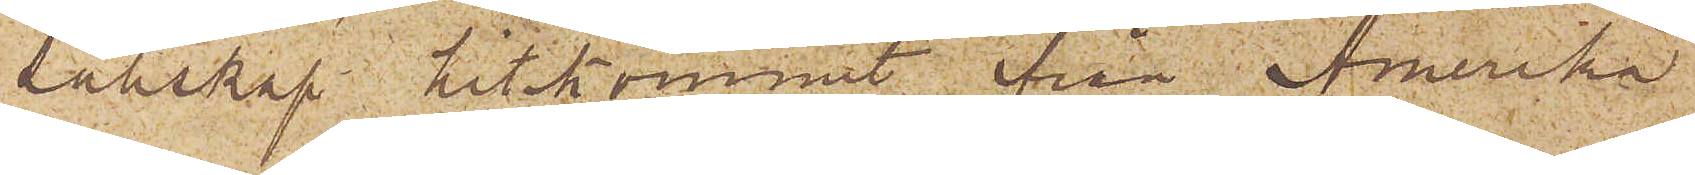sällskap hitkommit ifrån Amerika
